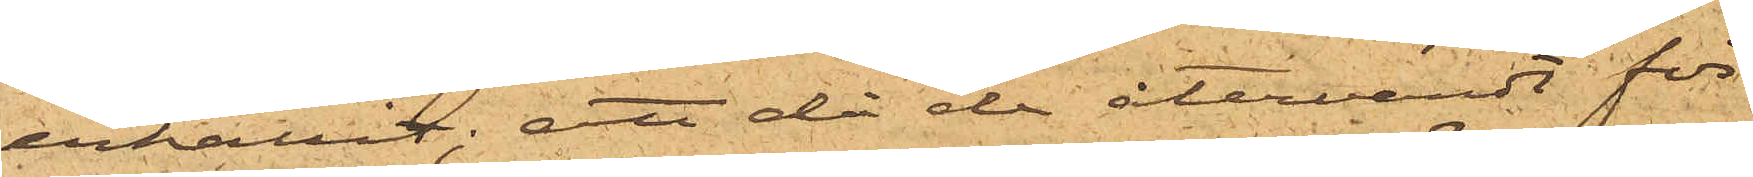erhållit; att då de återvändt för
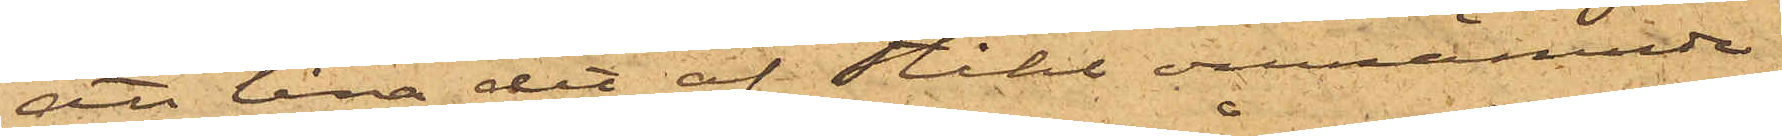att låna det af Ståhl omnämnde
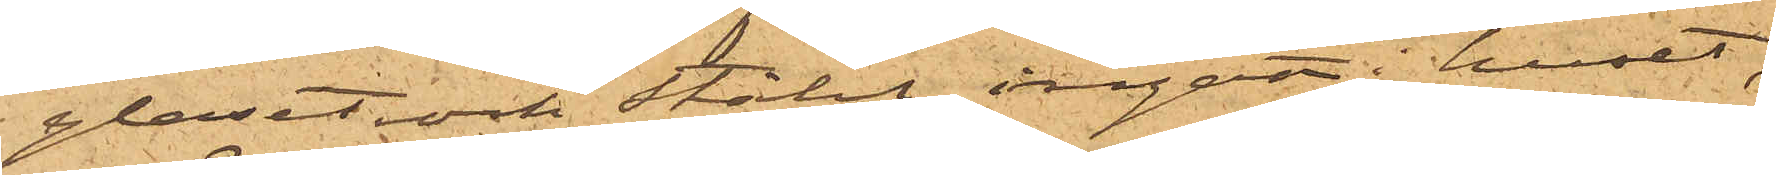glaset och Ståhl ingått i huset,
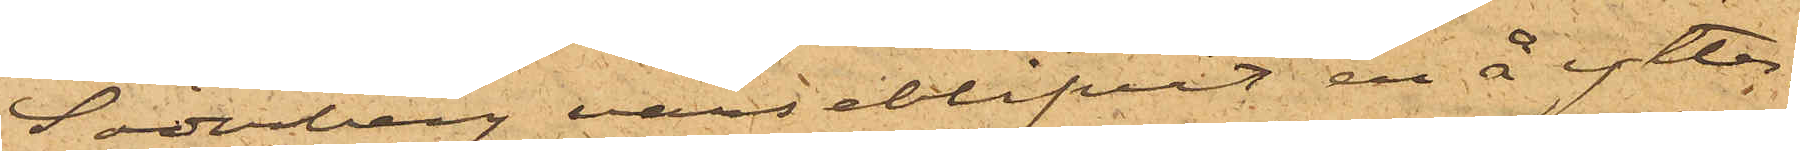Söderberg varseblifvit en å ytter¬
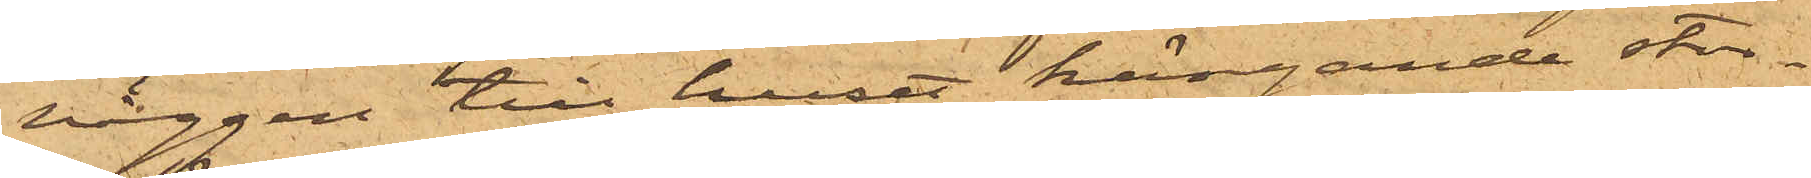väggen till huset hängande stor¬
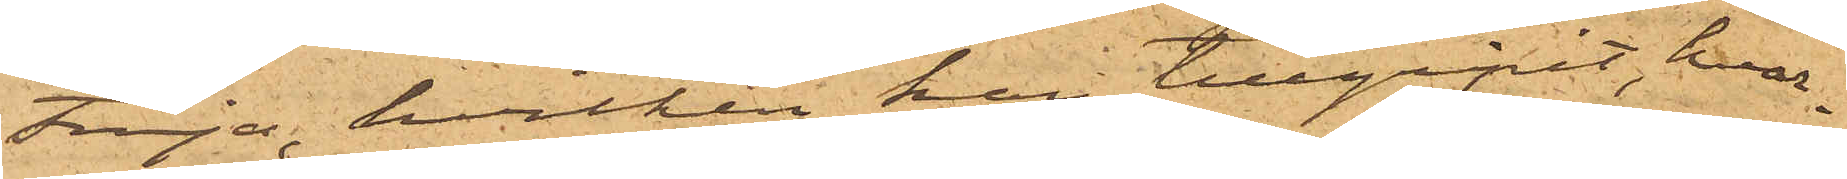tröja, hvilken han tillgripit, hvar¬
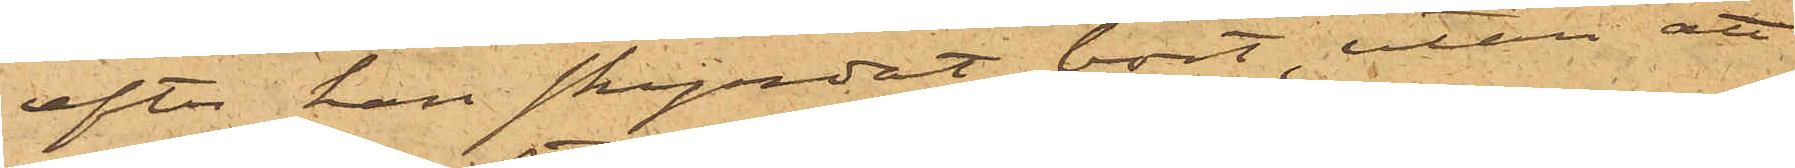efter han skyndat bort, utan att
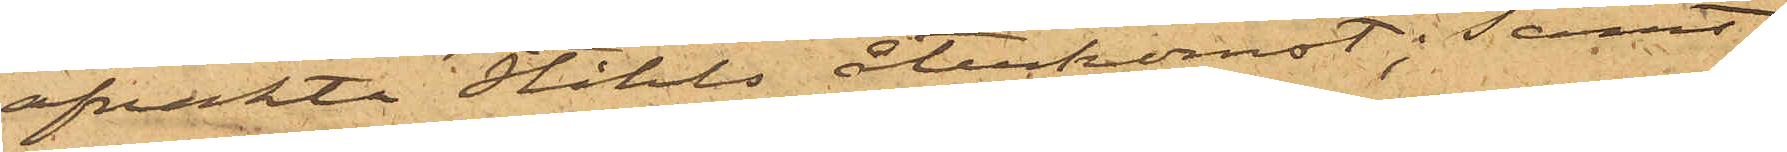afvakta Ståhls återkomst; samt
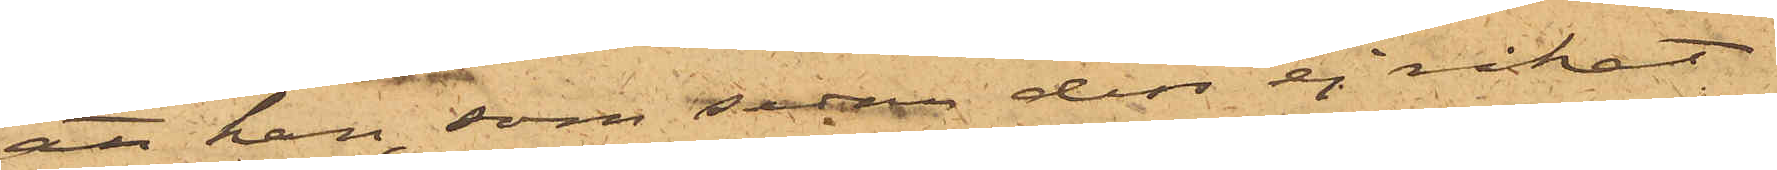att han, som sedan dess ej råkat
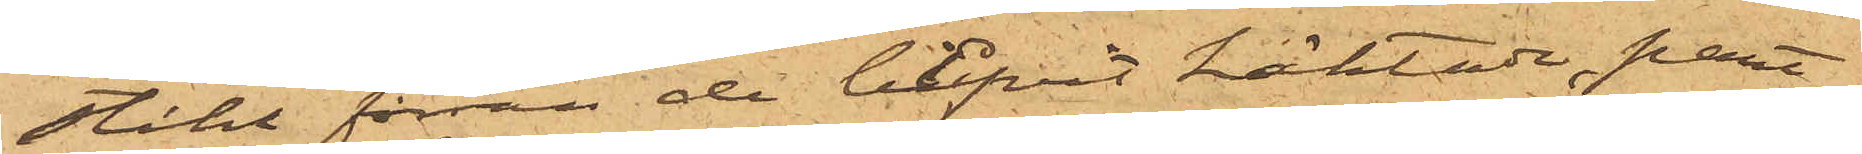Ståhl förrän de blfvit häktade, pant¬
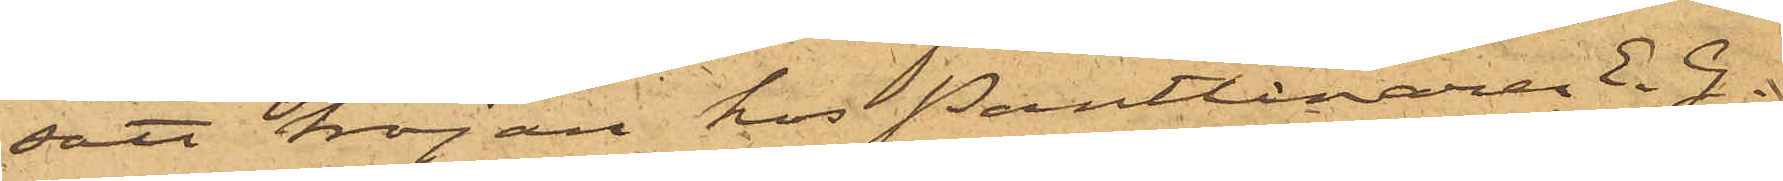satt tröjan hos Pantlånaren E.G.
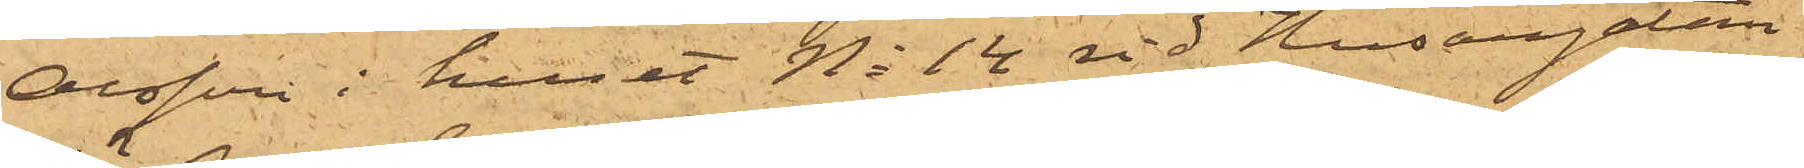Olsson i huset No 14 vid Husargatan
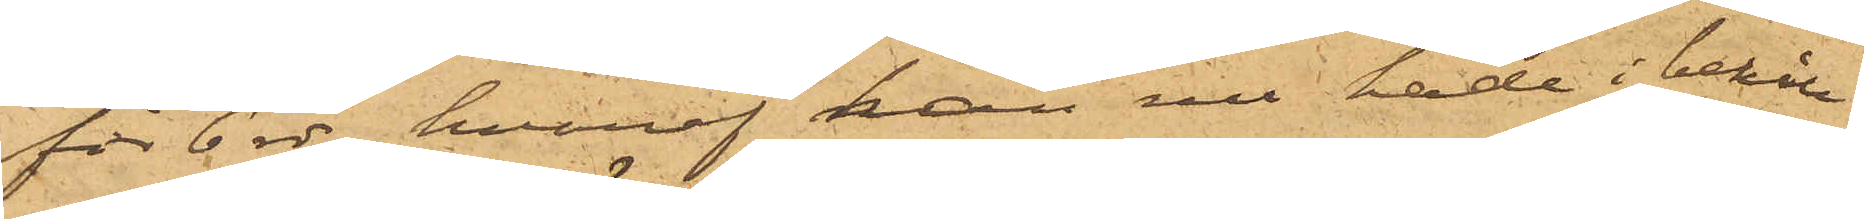för 6 rdr, hvaraf han nu hade i behåll
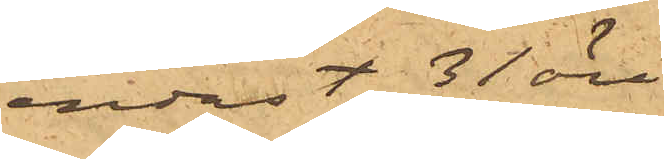endast 31 öre.
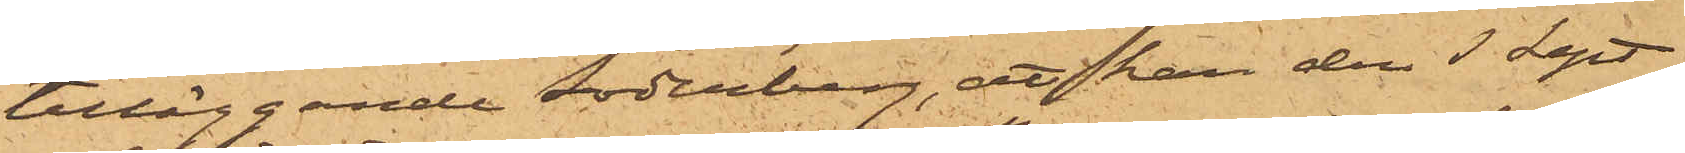tilläggande Söderberg, att han den 3 Sept
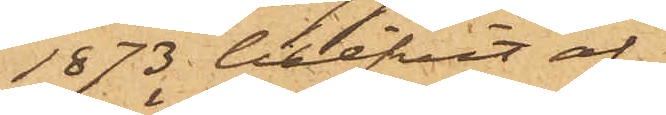873 blifvit af
